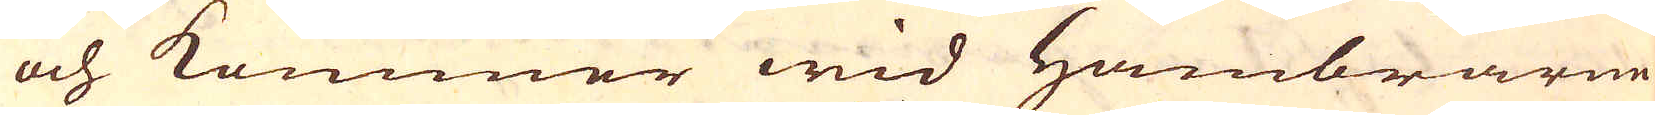och kommer wid Hambrarne
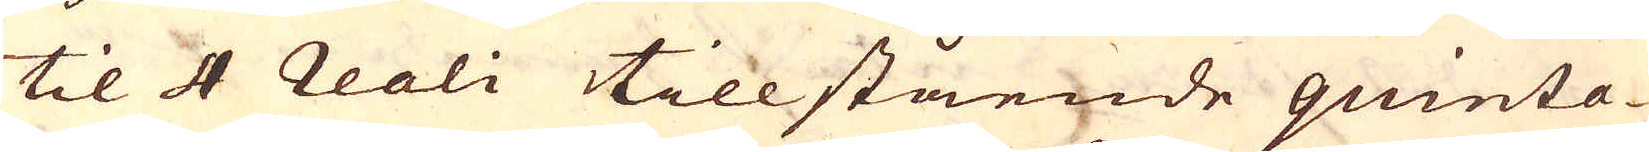til 4 reali tillstående quinta-
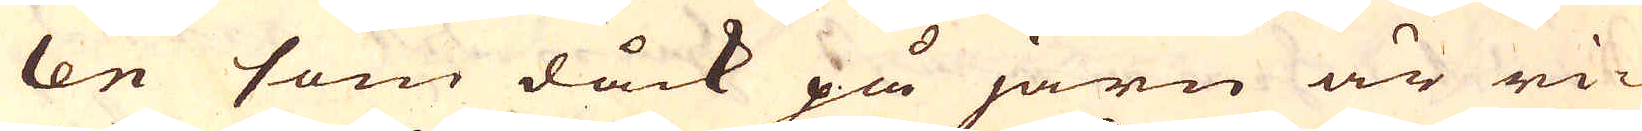len som dåck på järn är ri-
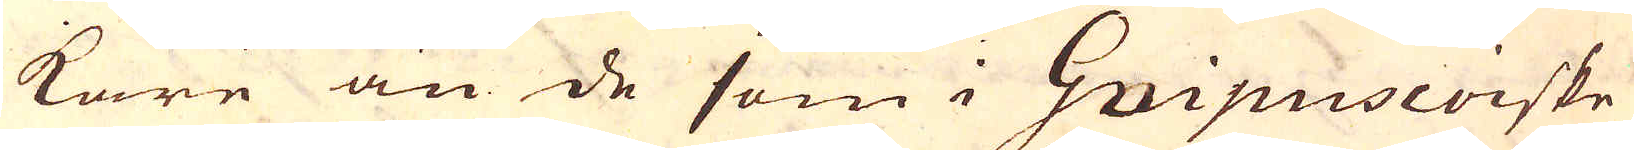kare än de som i Guipuscoiske
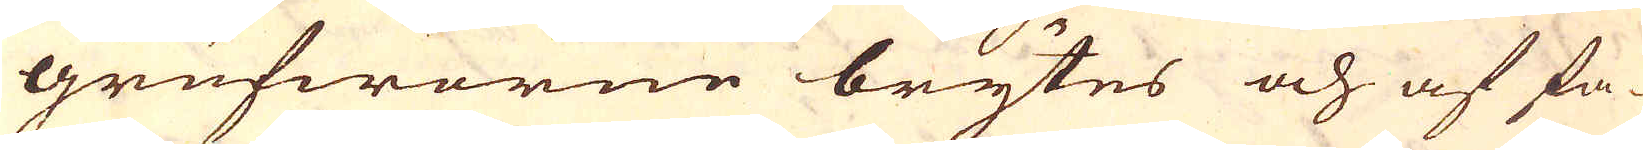grufworne brytes och af fa-
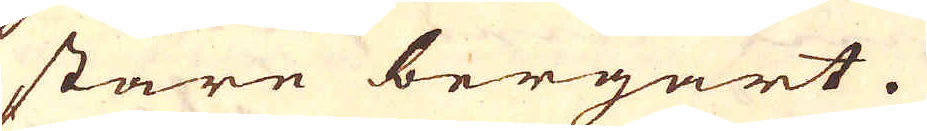stare bergart.
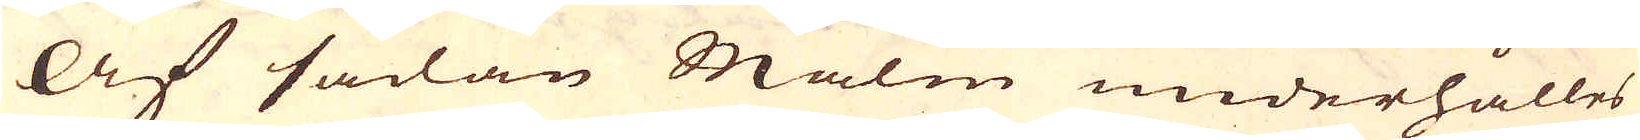Af sådan Malm underhålles
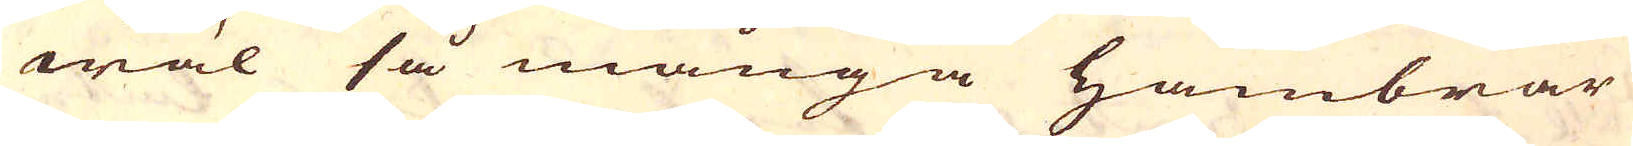wäl så många hambrar
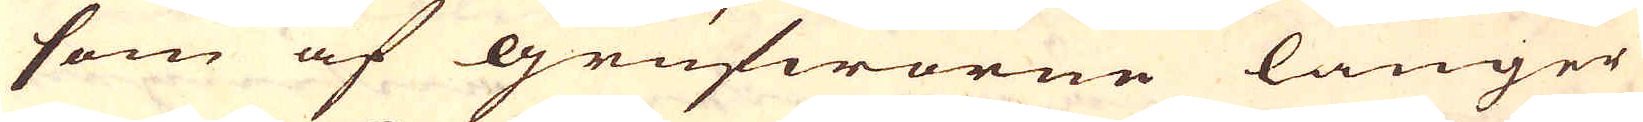som af grufworne länger
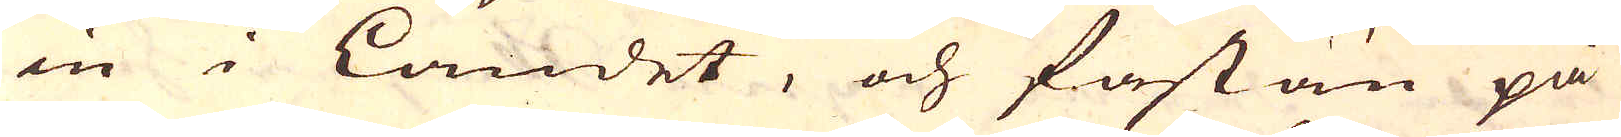in i Landet, och fastän på
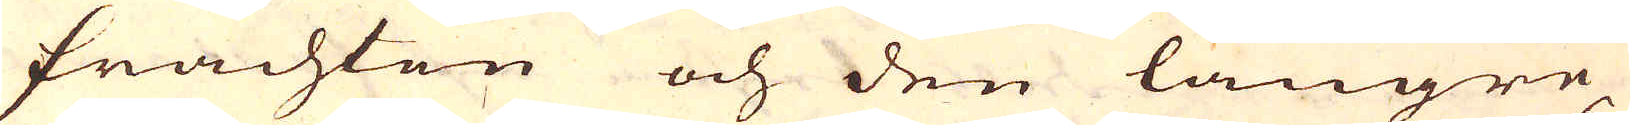frachten och den längre
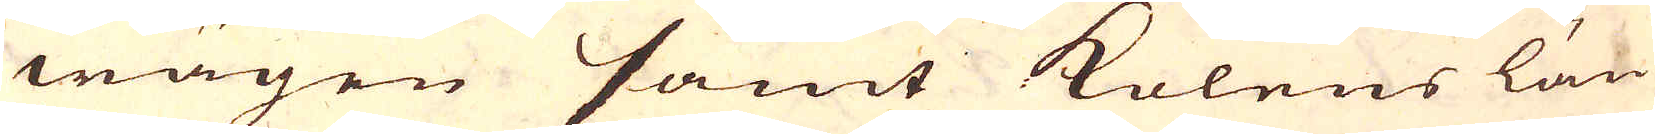wägen samt Kolens län-
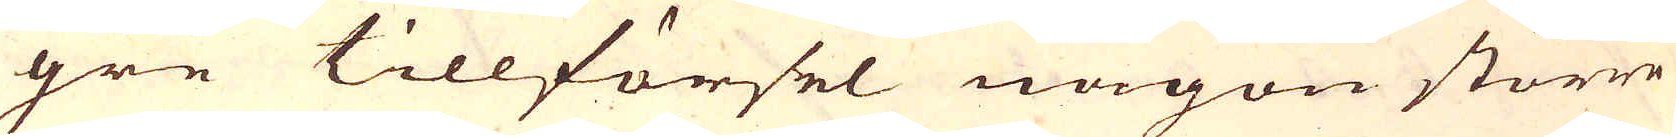gre tillförsel någon större
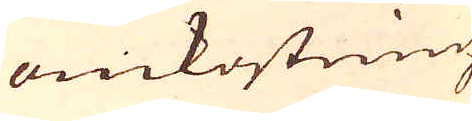omkostning
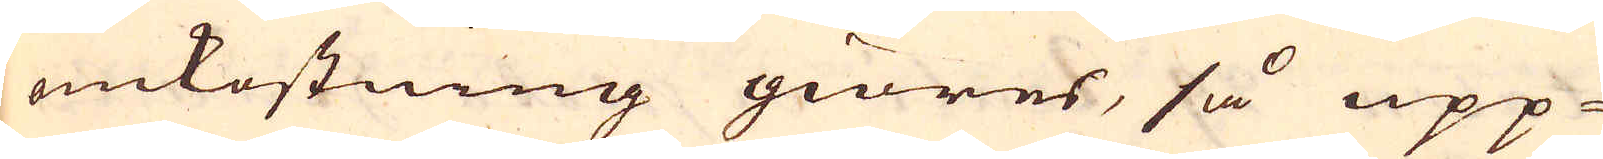omkostning giöres, så upp-
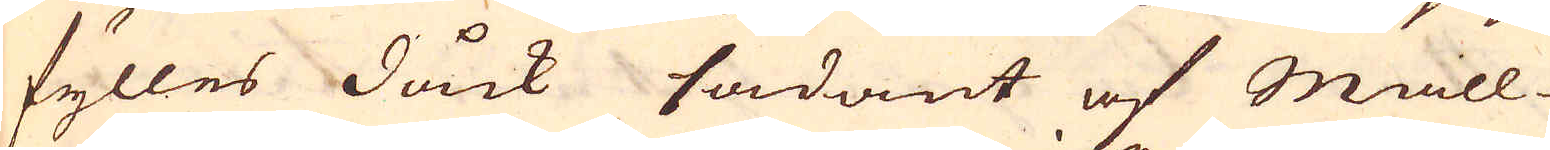fylles dåck sådant af Mall-
